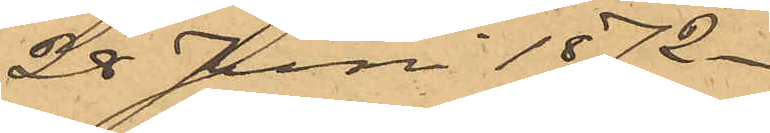28 Juni 1872.
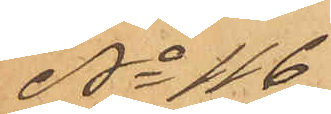No 116
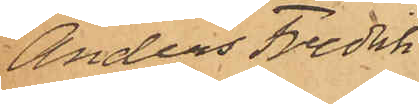Anders Fredrik
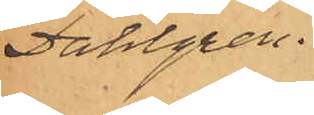Dahlgren.
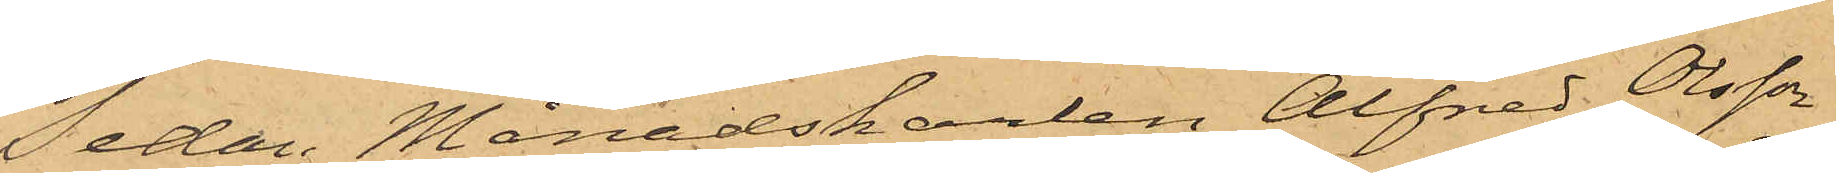Sedan Månadskarlen Alfred Olsson
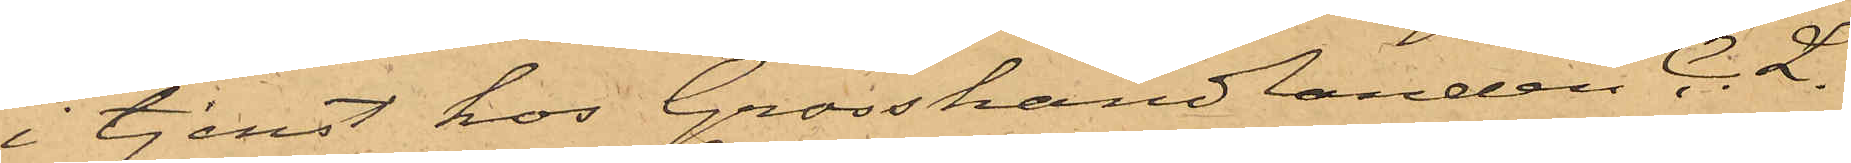i tjenst hos Grosshandlanden C. L.
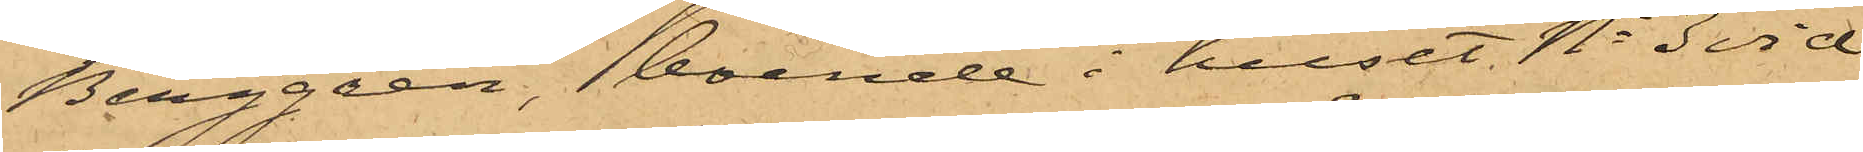Berggren, boende i huset No 3 vid
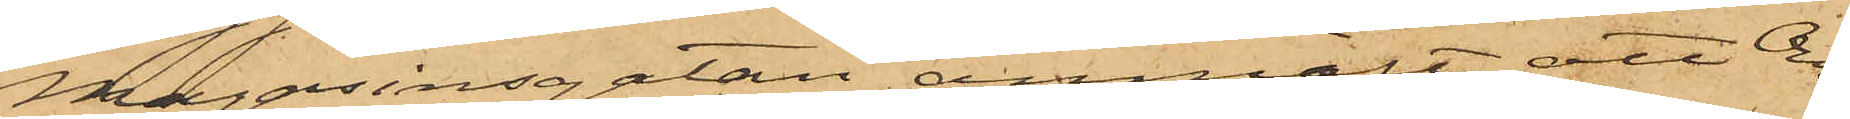Magasinsgatan anmält att Ons¬
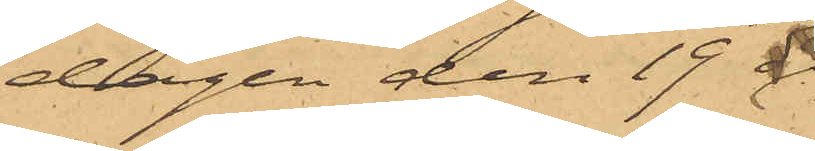dagen den 19 
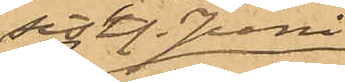sistl. Juni,
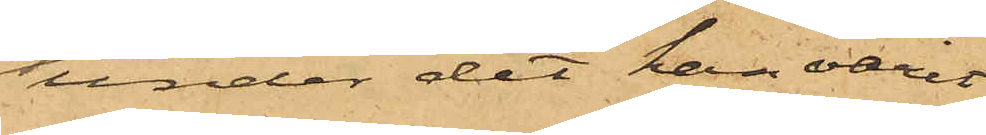under det han varit
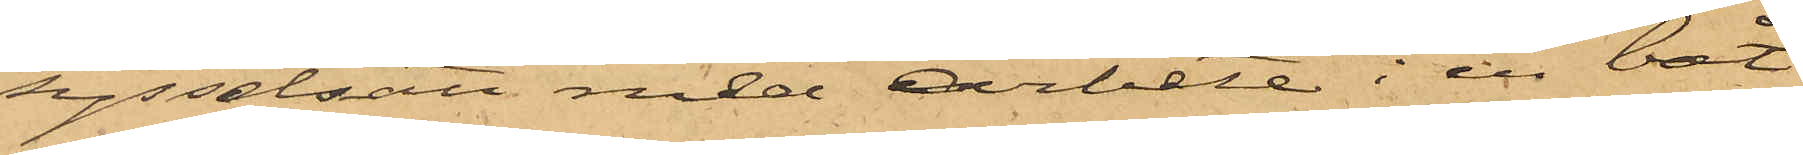sysselsatt med arbete i en båt
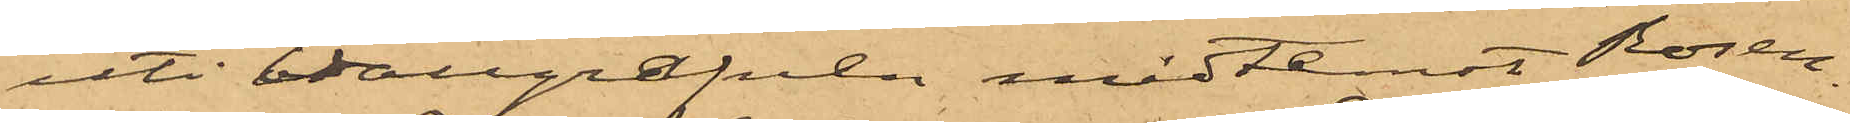uti Vallgrafven midtemot Rosen¬
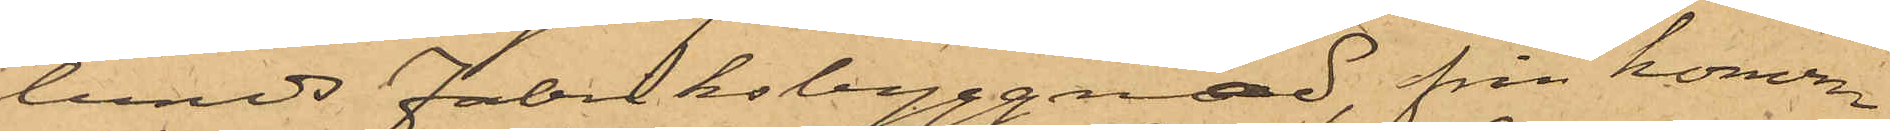lunds Fabriksbyggnad, från honom
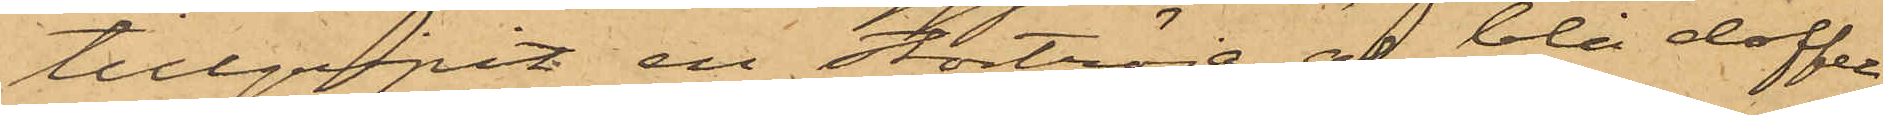tillgripit en stortröja af blå doffel,
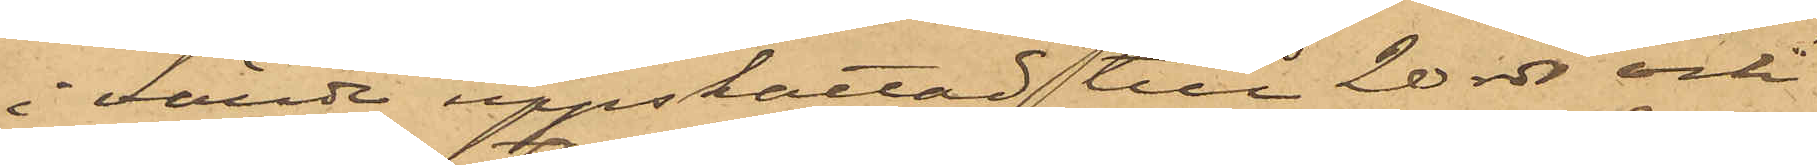i värde uppskattad till 20 rdr och
